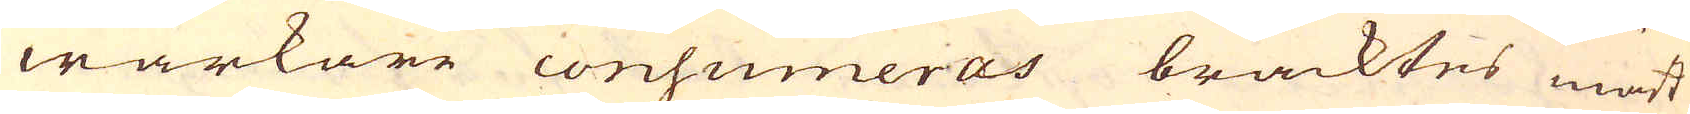wärkare consumeras bracktes mäst
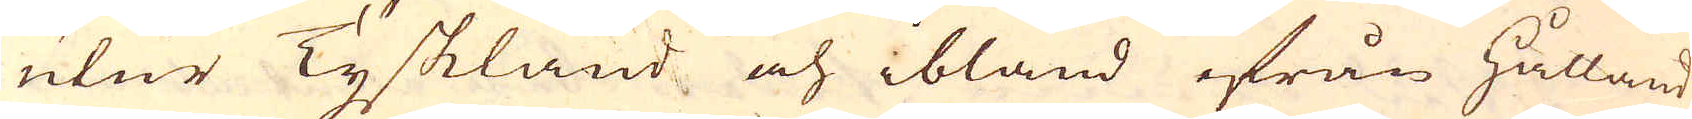utur Tyskland och ibland ifrån Hålland
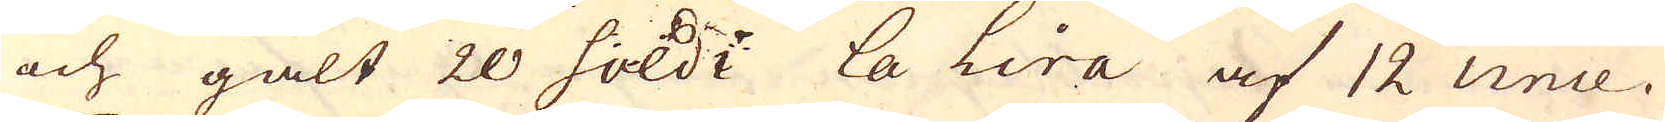och galt 20 soldi La Lira af 12 unce.
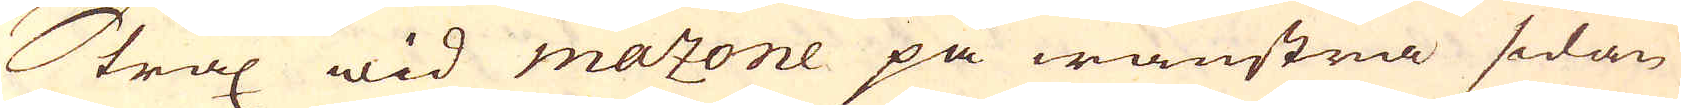Strax wid mazone på wänstra sidan
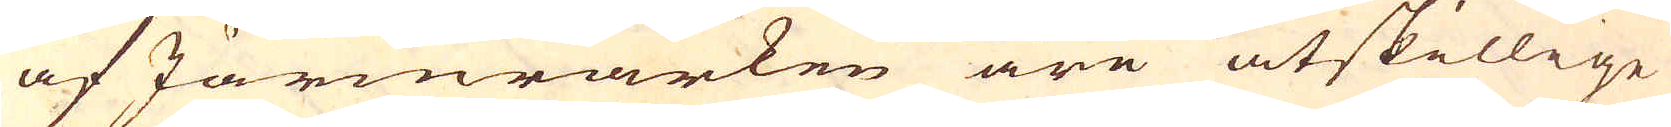af Järmärken äre åtskillige
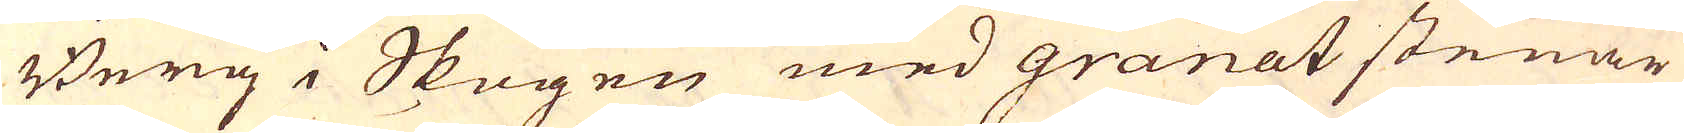Berg i Skogen med granat stenar
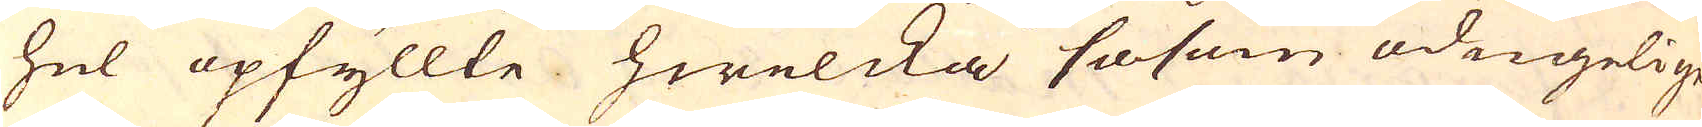hel opfyllte hwilcka såsom odugelige
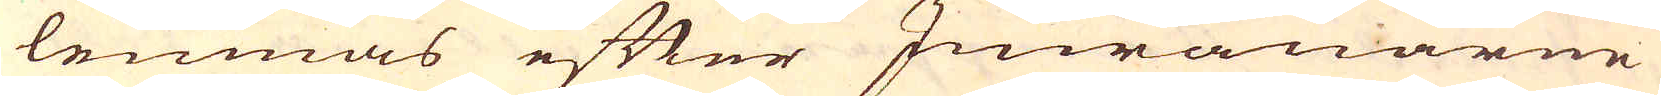lemnas efter Inwånarne
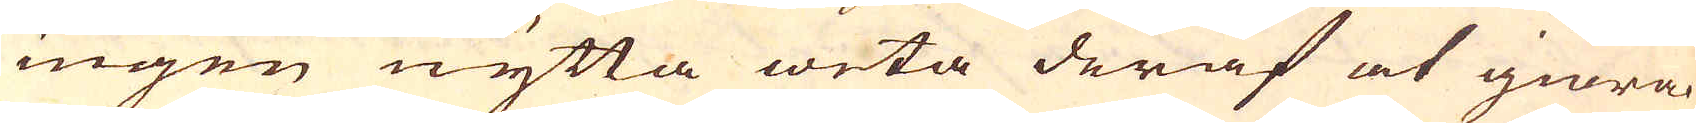ingen nytta weta deraf at giöra.
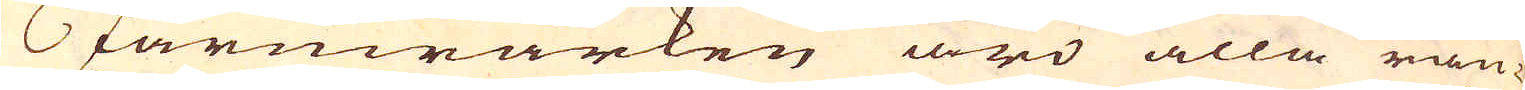Järnwärken äro alla rän-
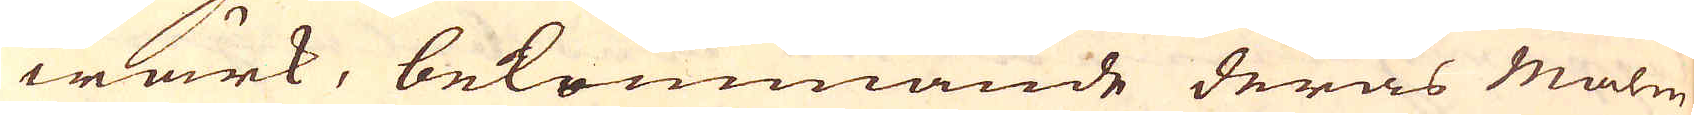wärk, bekommande deras Malm
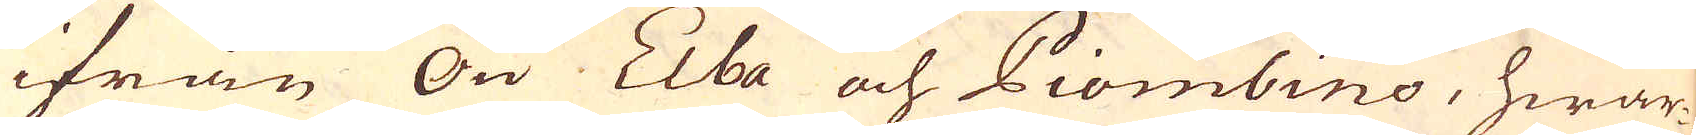ifrån Ön Elba och Piombino, hwar-
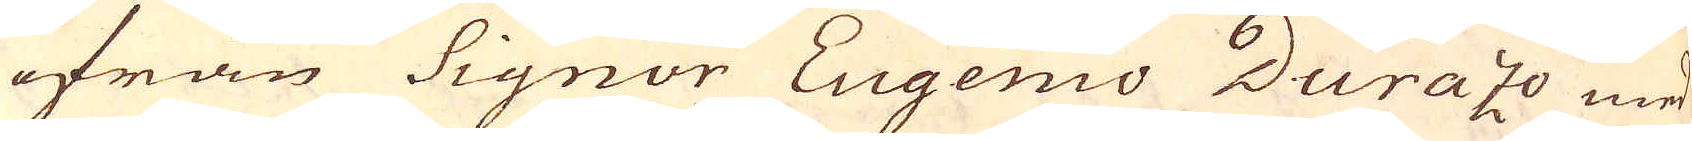ifrån Signor Eugenio Durazo med
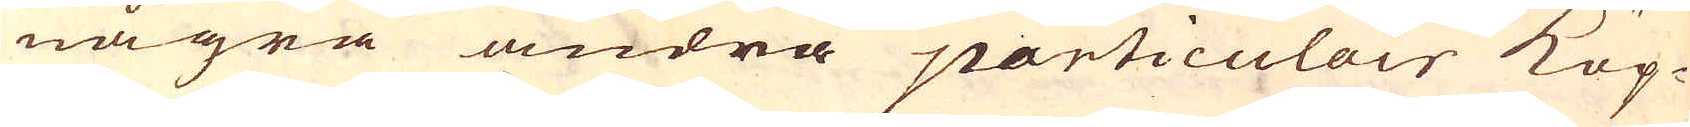några andra particulair Köp-
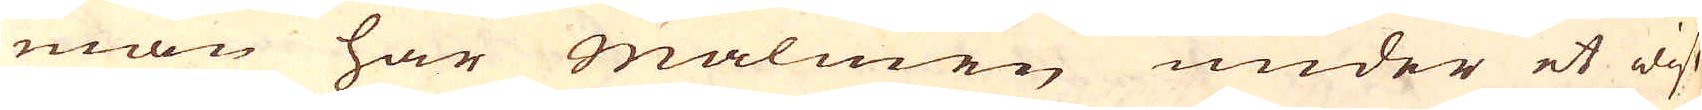män har malmen under et wist
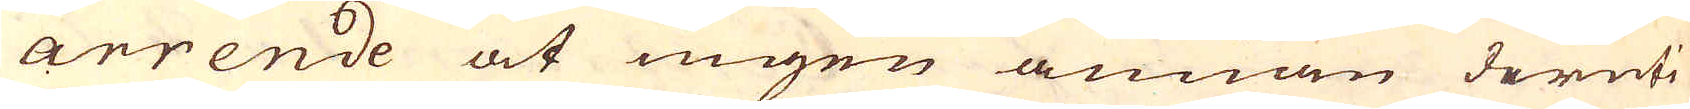arrende at ingen annan deruti
